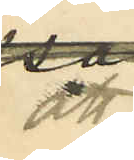att
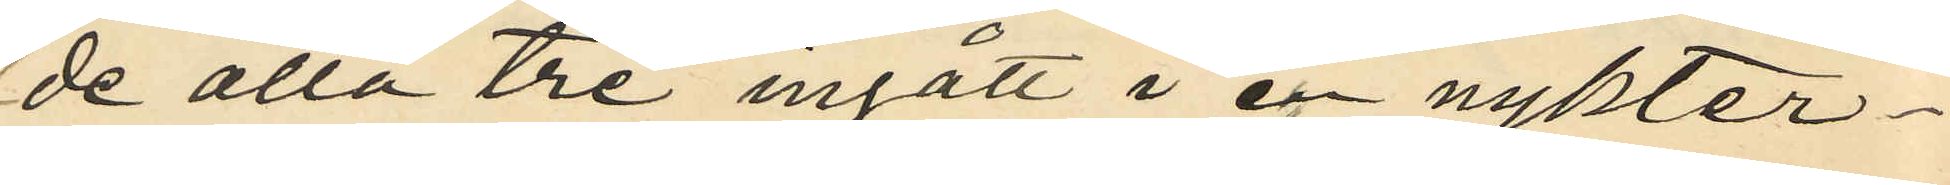de alla tre ingått i en nykter
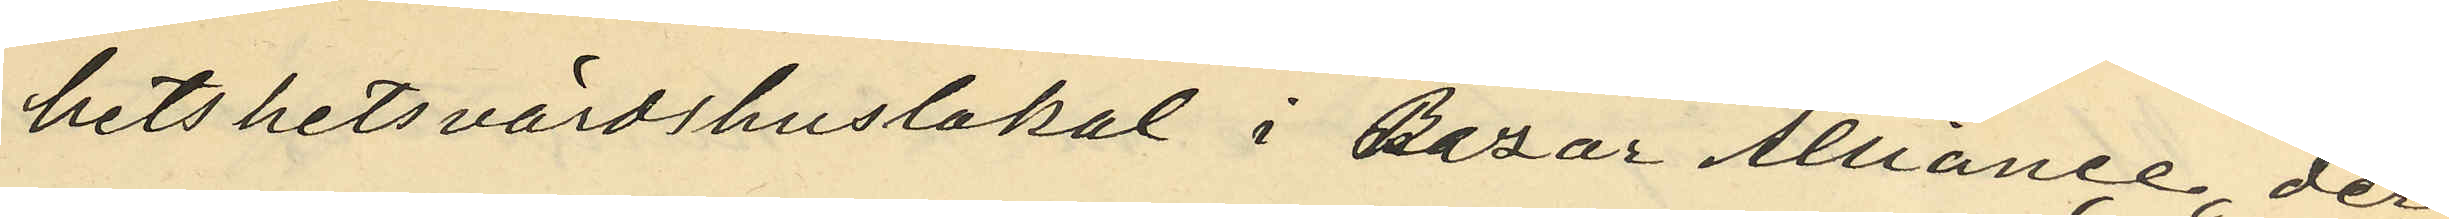hetshetsvärdshuslokal i Bazar Alliance, der
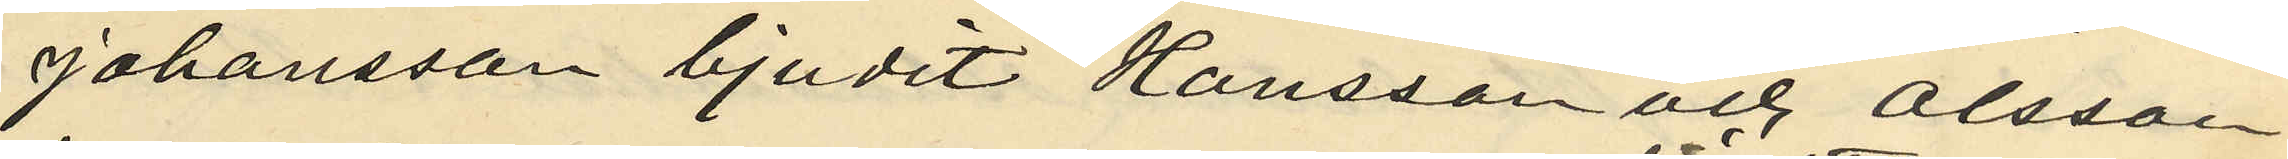Johansson bjudit Hansson och Olsson
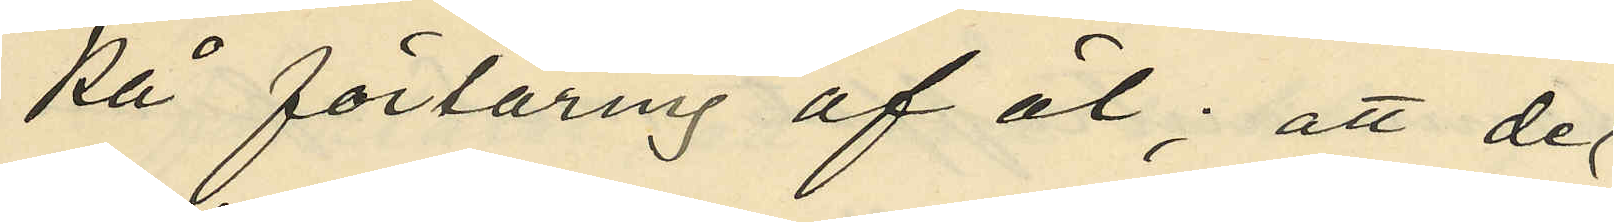på förtäring af öl; att de
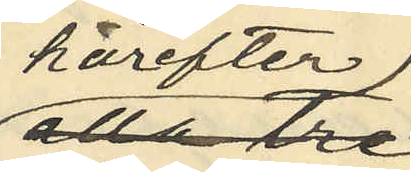härefter
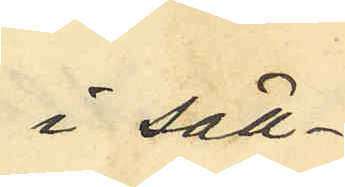i säll¬
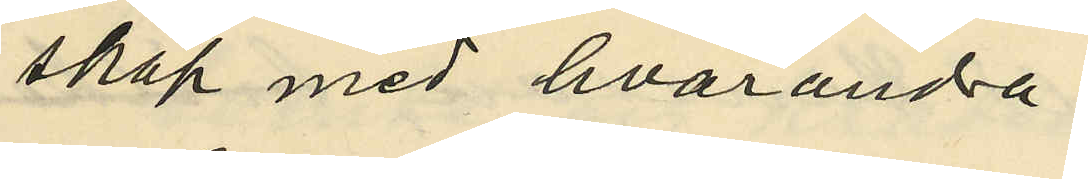skap med hvarandra
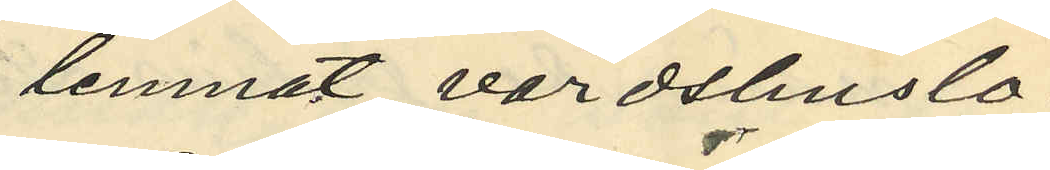lemnat värdshuslo¬
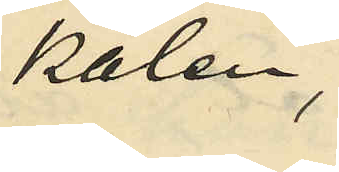kalen
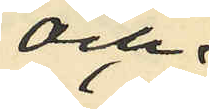och
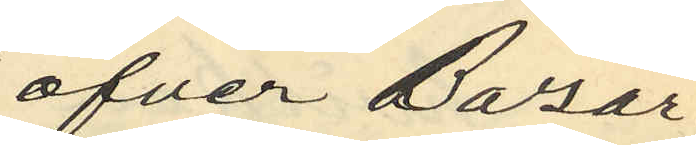öfver Bazar¬
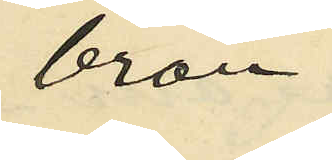bron
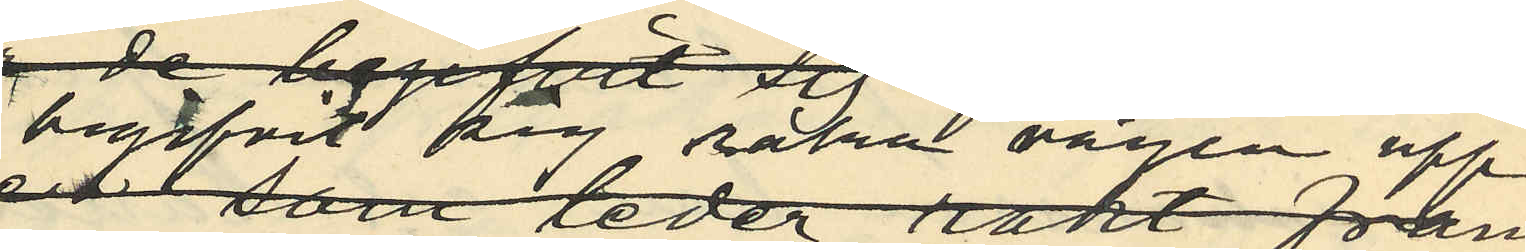begifvit sig raka vägen upp
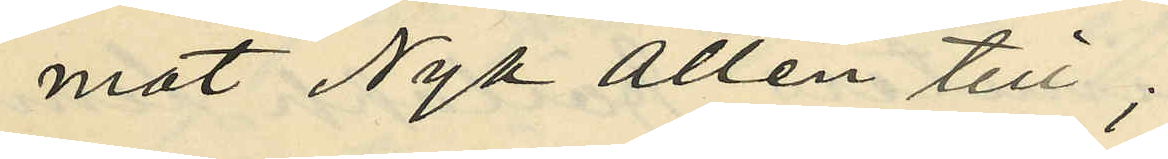mot Nya Allén till;
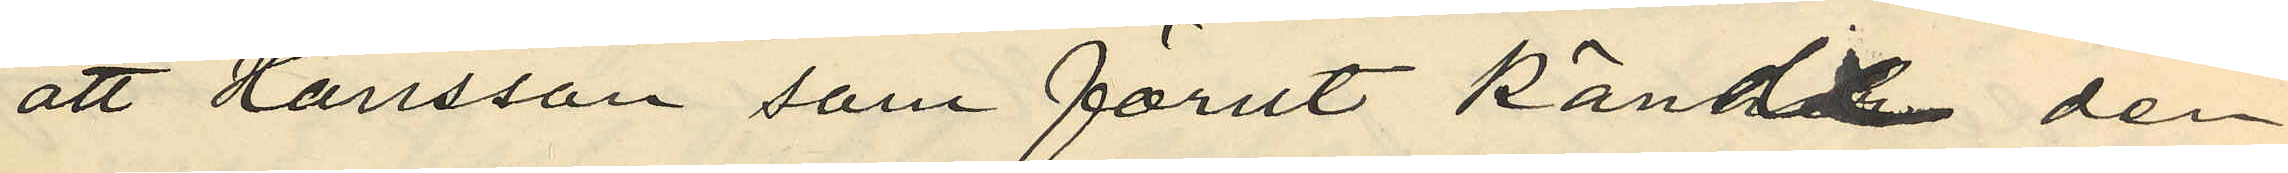att Hansson som förut kändt den
